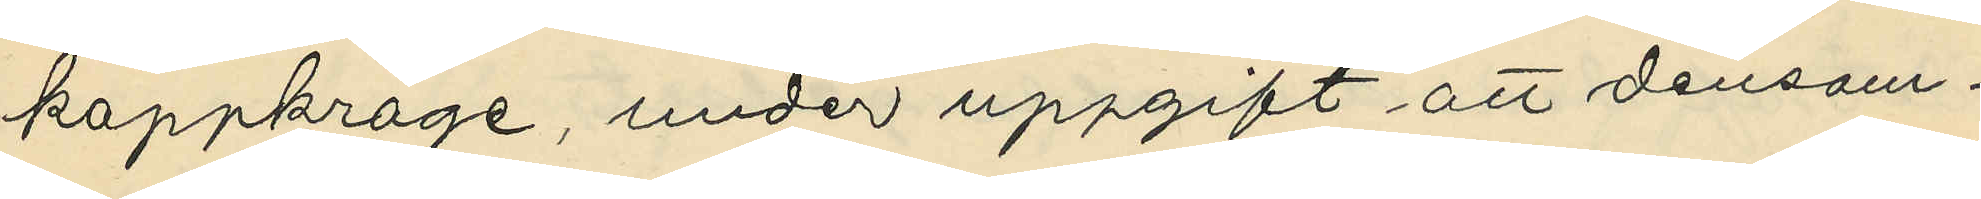kappkrage, under uppgift att densam¬
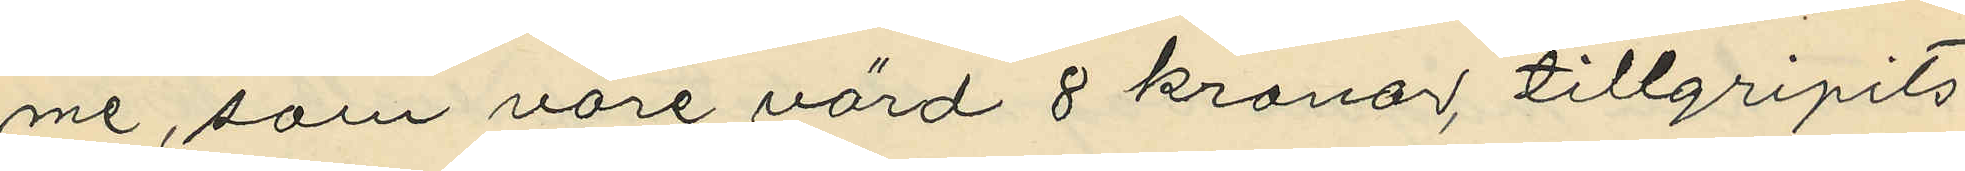me, som vore värd 8 kronor, tillgripits
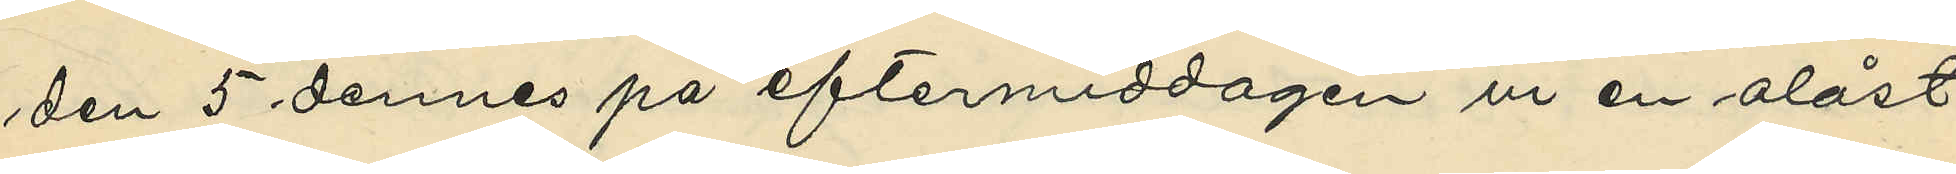den 5 dennes på eftermiddagen ur en olåst
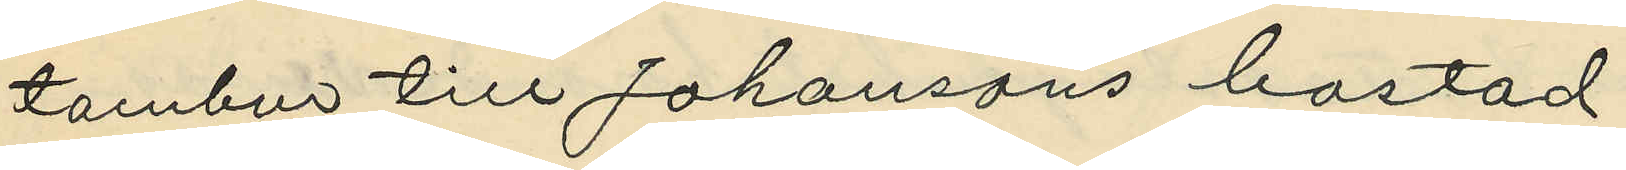tambur till Johansons bostad.
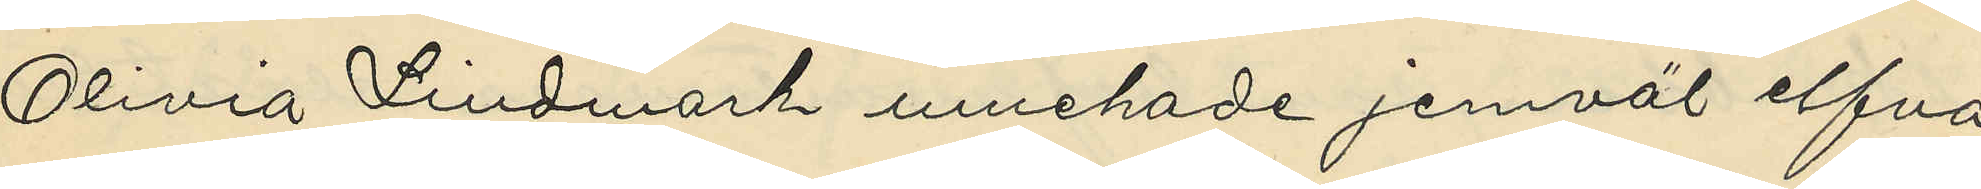Olivia Lindmark innehade jemväl elfva
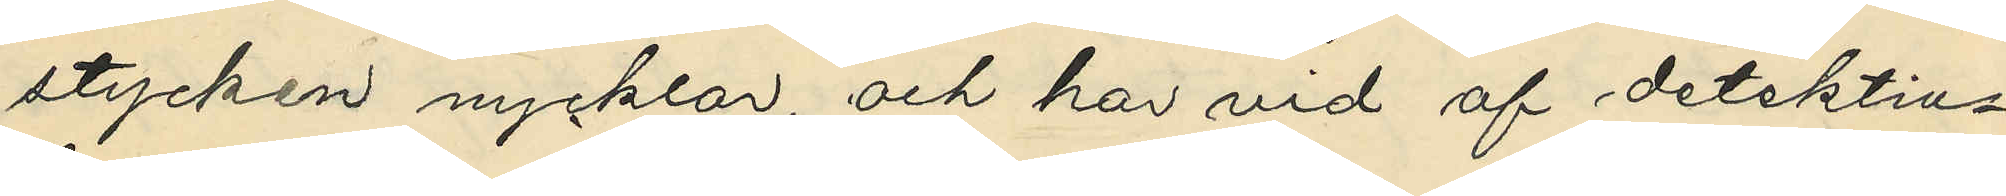stycken nycklar, och har vid af detektiv¬
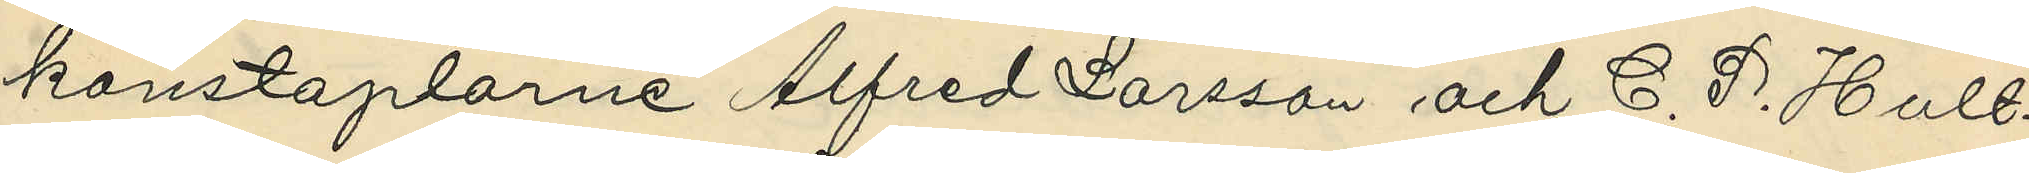konstaplarne Alfred Larsson och C. P. Hult¬
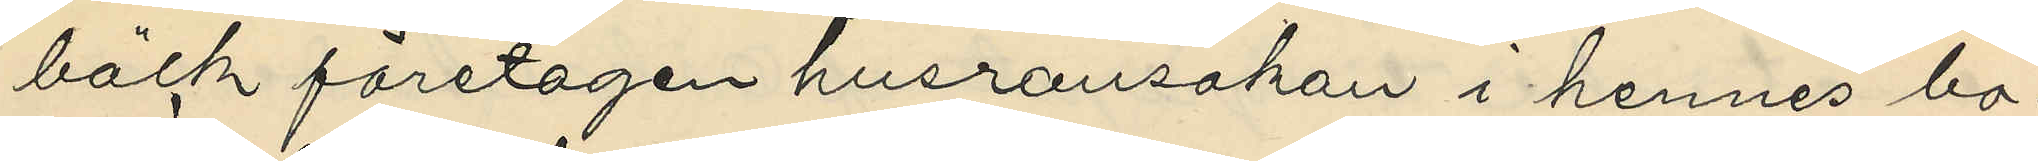bäck företagen husransakan i hennes bo¬
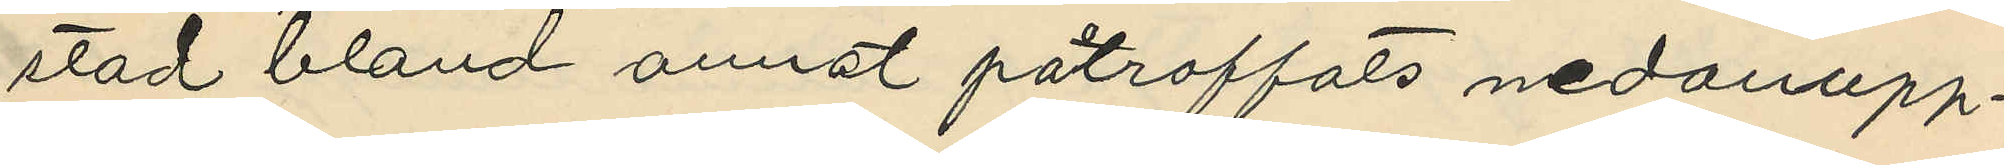stad bland annat påtraffats nedanupp¬
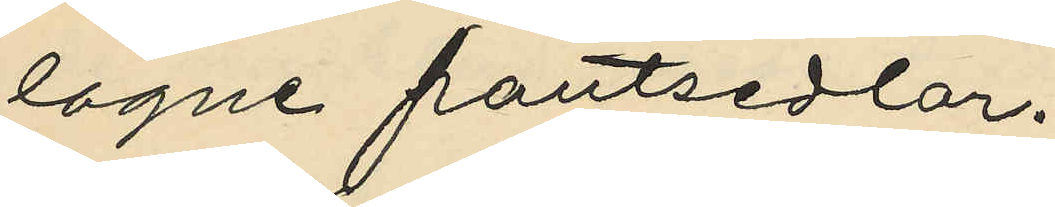lagne pantsedlar.
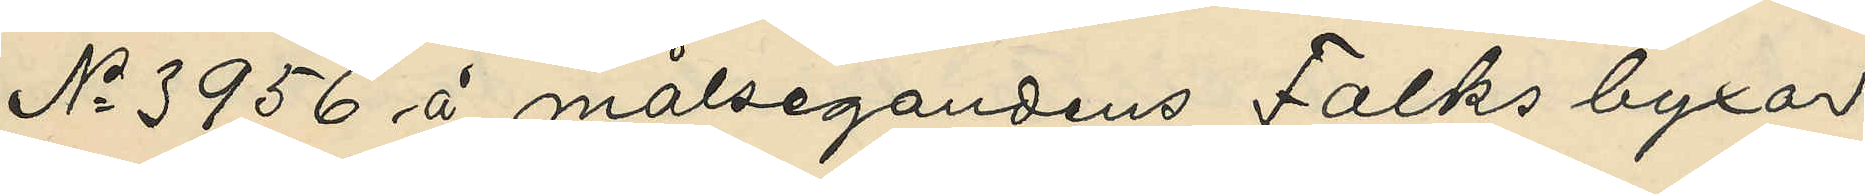No 3956 å målsegandens Falks byxor
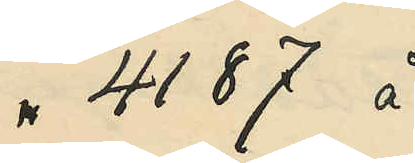" 4187 å
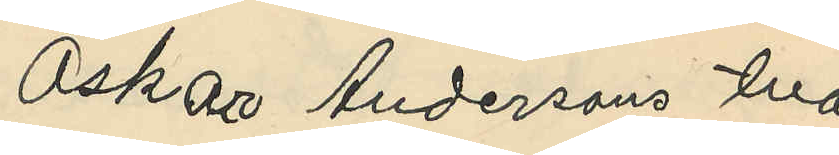Oskar Andersons två
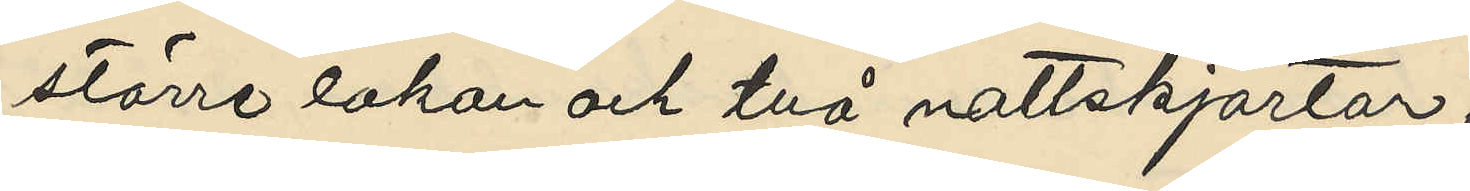större lakan och två nattskjortor;
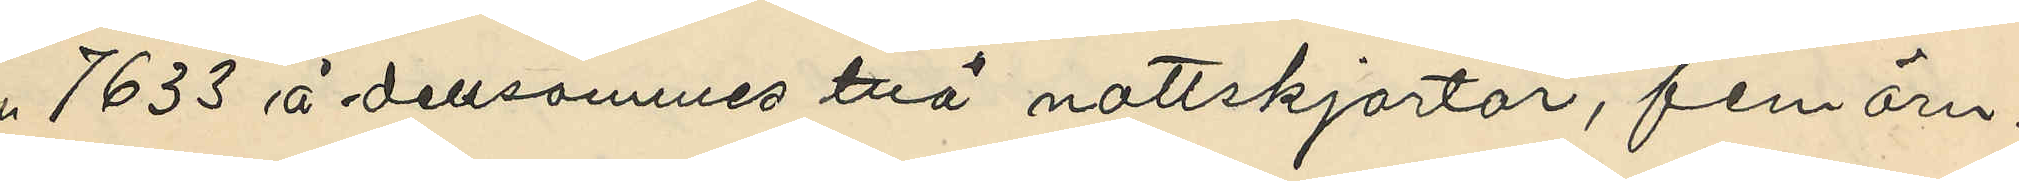" 7633 å densammes två nattskjortor, fem örn¬
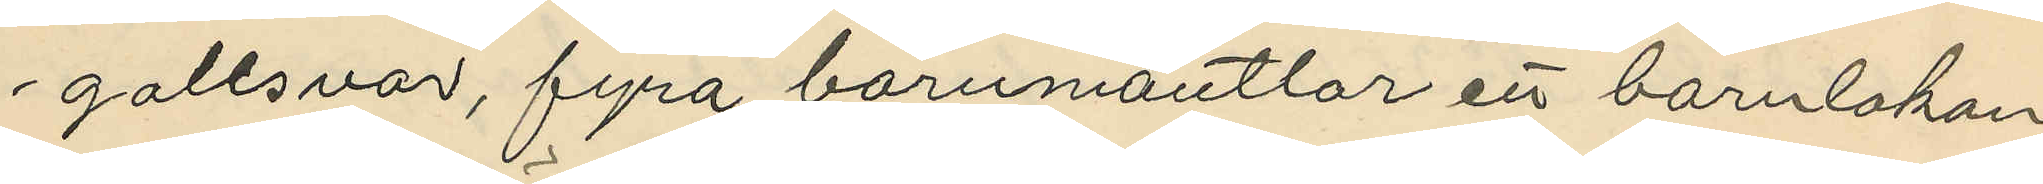gollsvar, fyra barnmantlar ett barnlakan
